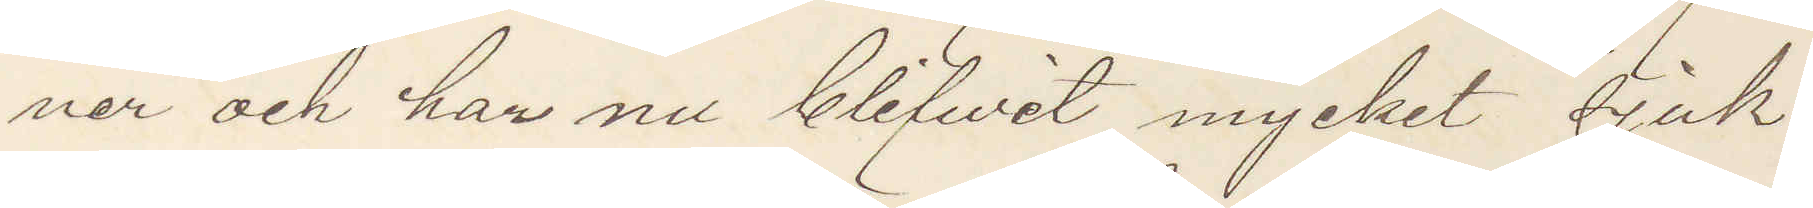ner och har nu blifwit mycket sjuk.
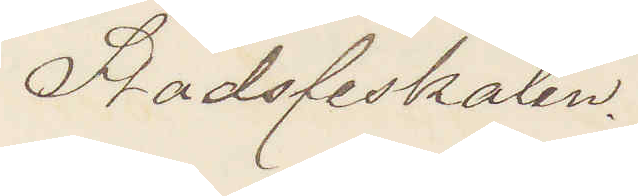Stadsfiskalen.
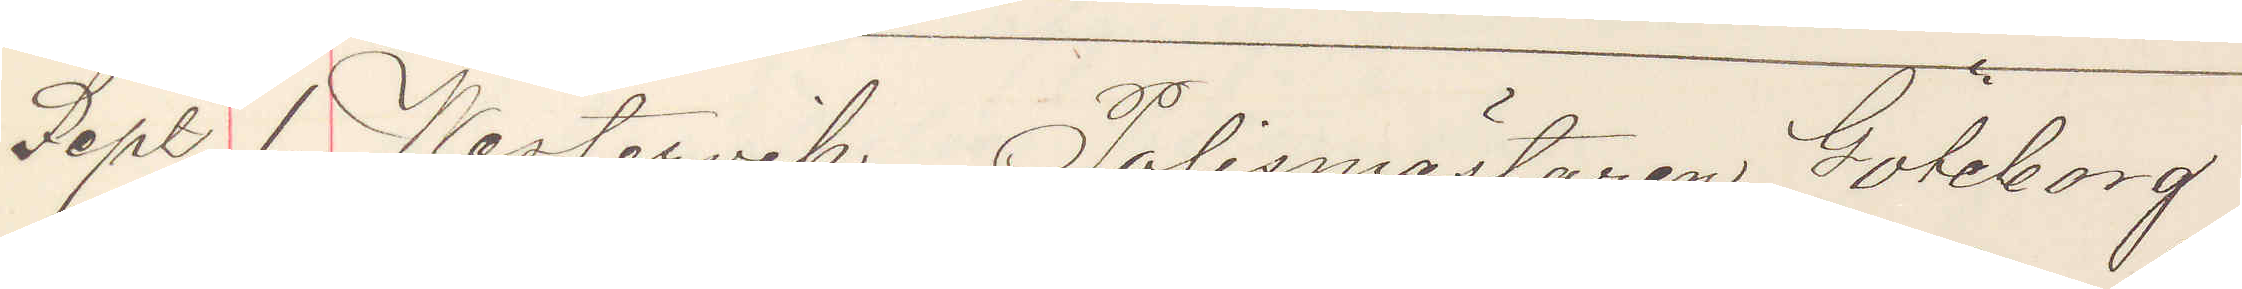Sept. 1. Westervik Polismästaren Göteborg
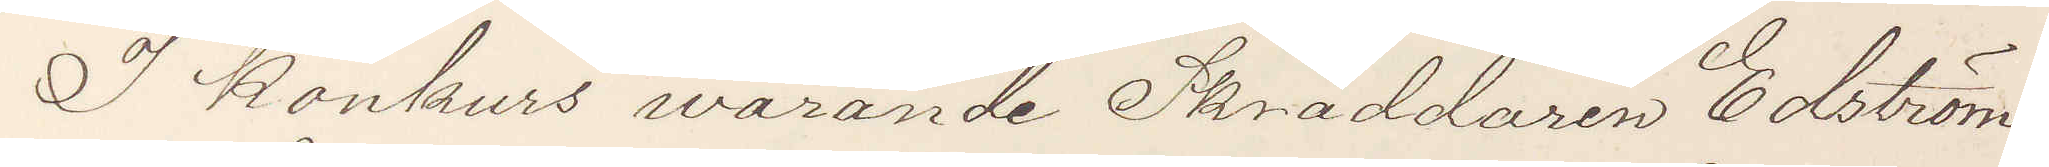I konkurs warande Skräddaren Edström
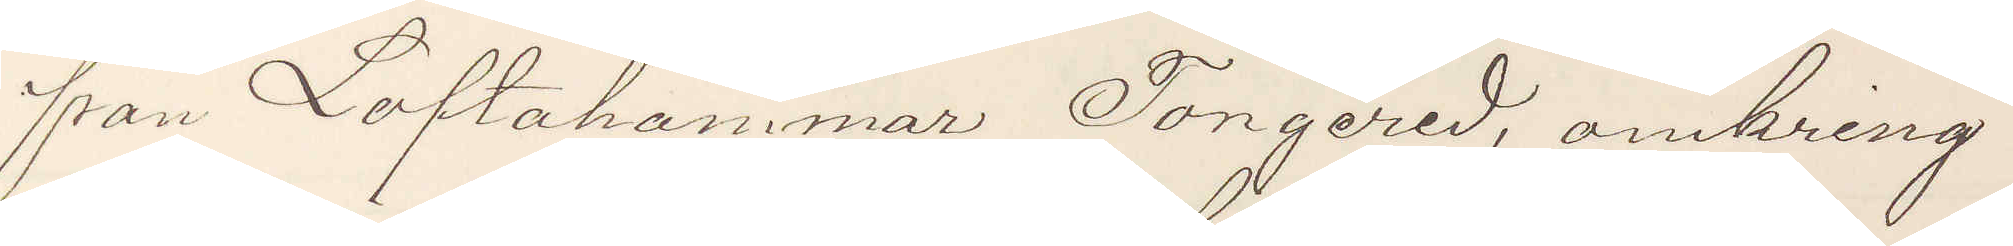från Loftakammar Tongered, omkring
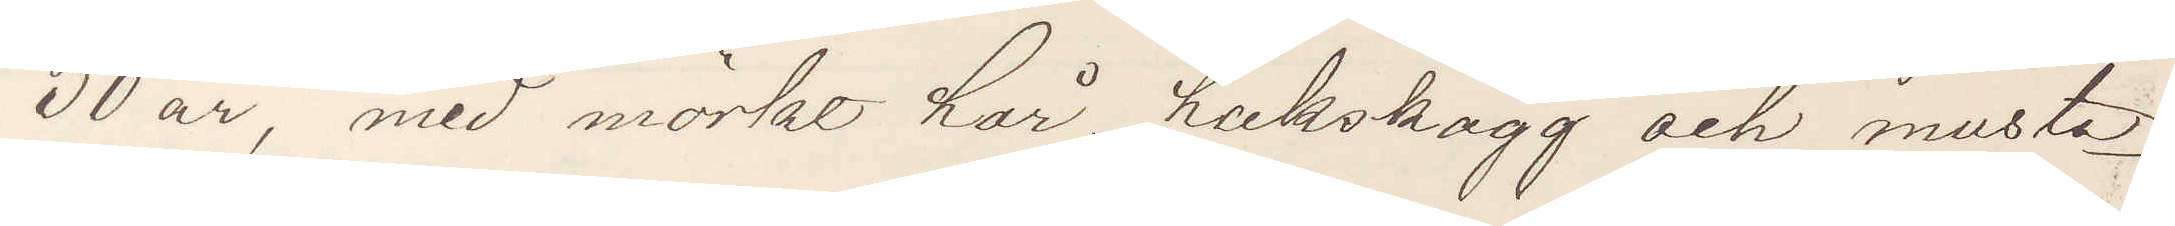30 år, med mörkt hår, hakskägg och musta¬
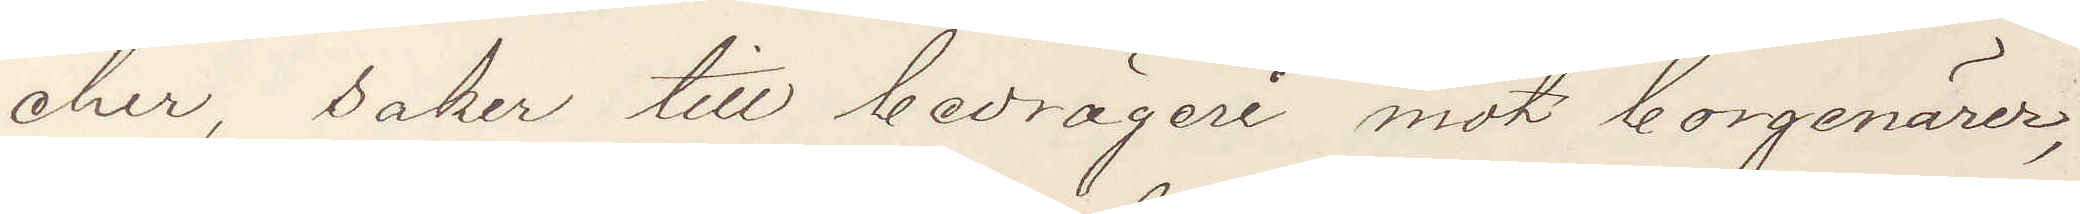cher, saker till bedrägeri mot borgenärer,
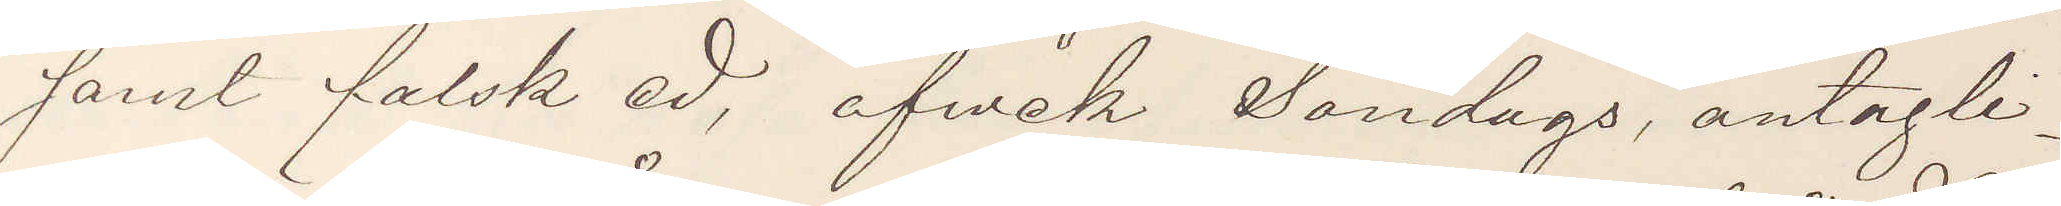samt falsk ed, afvek Söndags, antagli¬
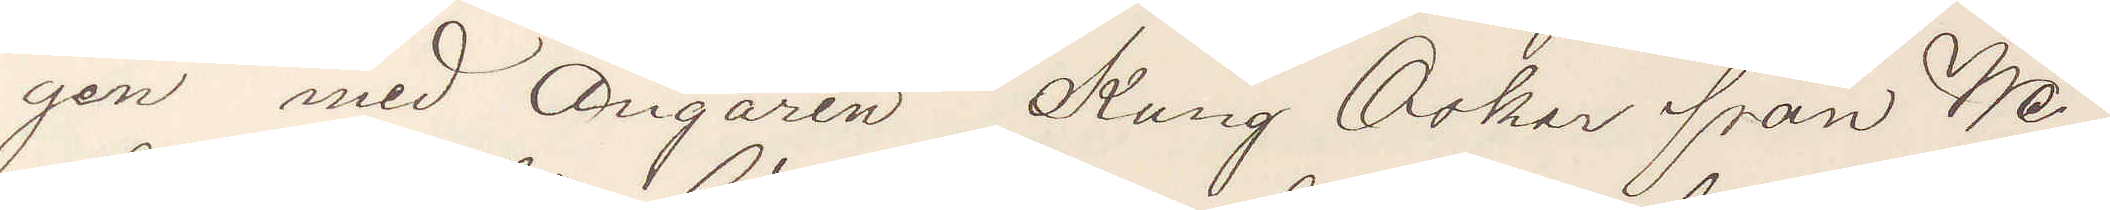gen med Ångaren Kung Oskar från We¬
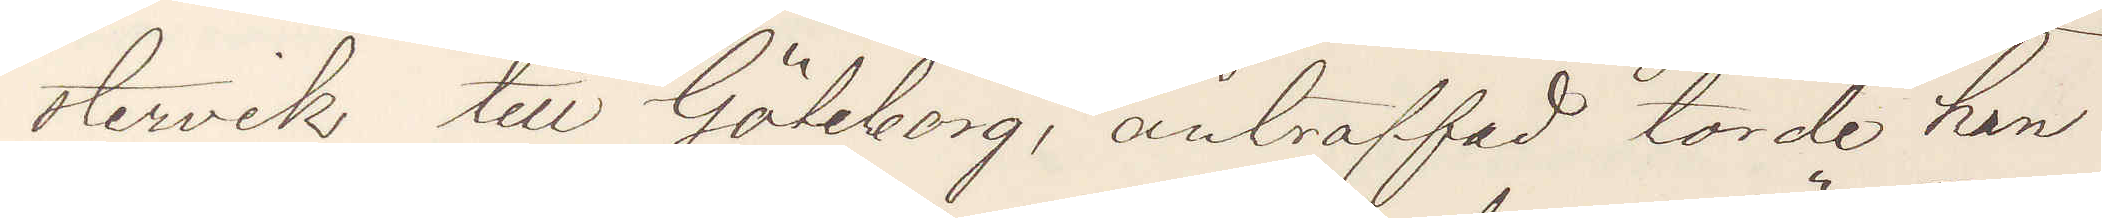stervik till Göteborg, anträffad torde han
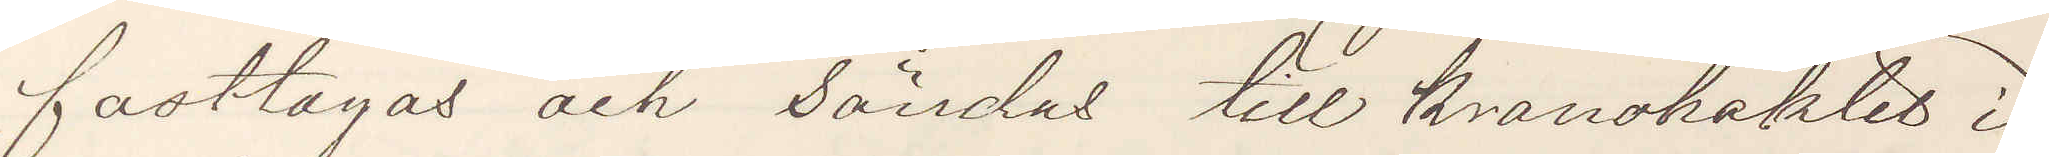fasttagas och sändas till kronohäktet i
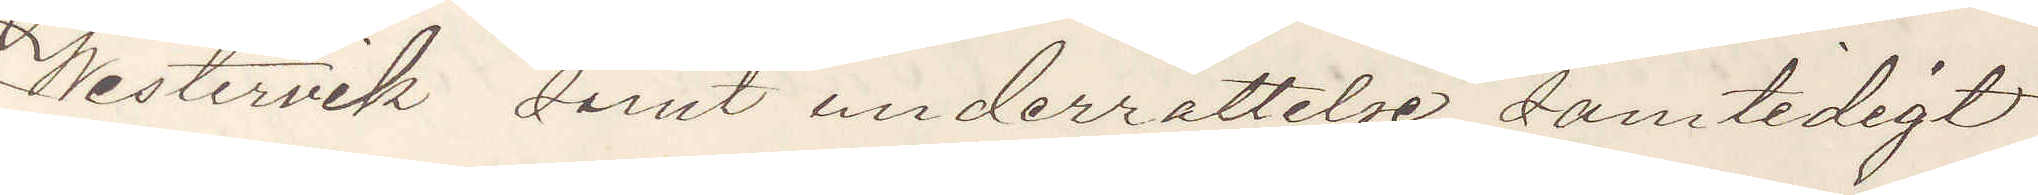Westervik samt underrättelse samtidigt
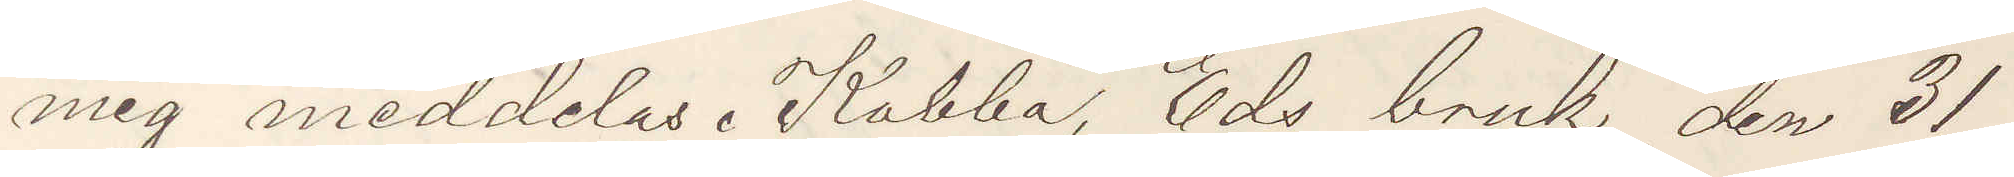mig meddelas. Kabba, Eds bruk den 21
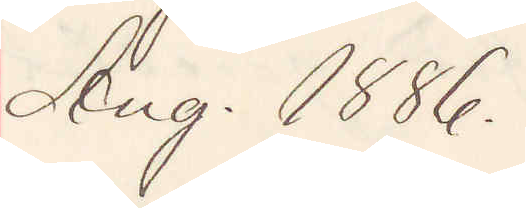Aug. 1886.
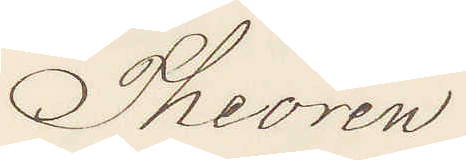Theorin
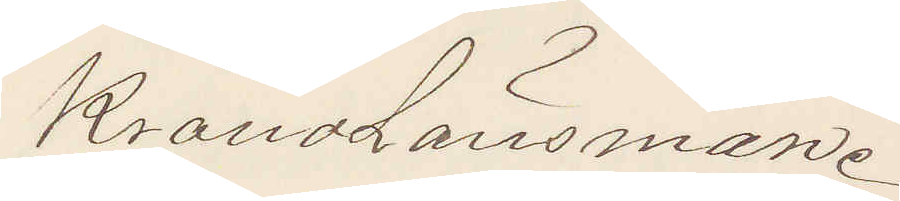Kronolänsman.
